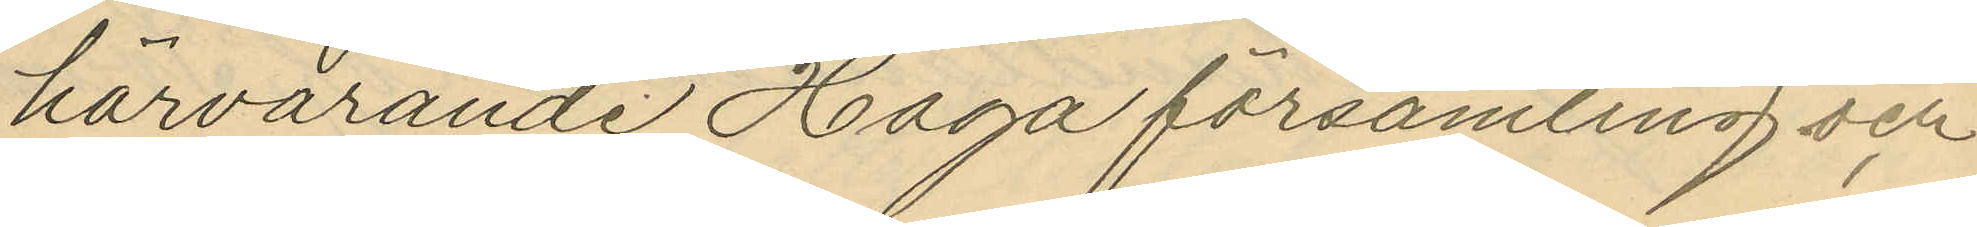härvarande Haga församling och
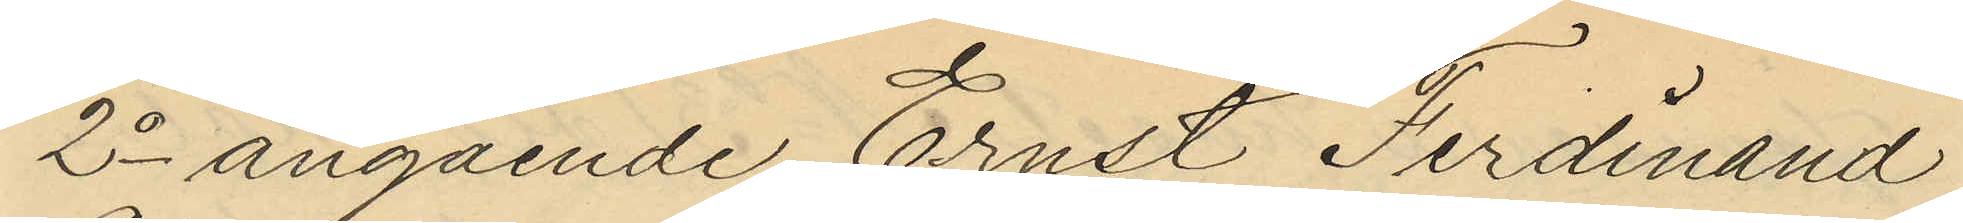2o angående Ernst Ferdinand
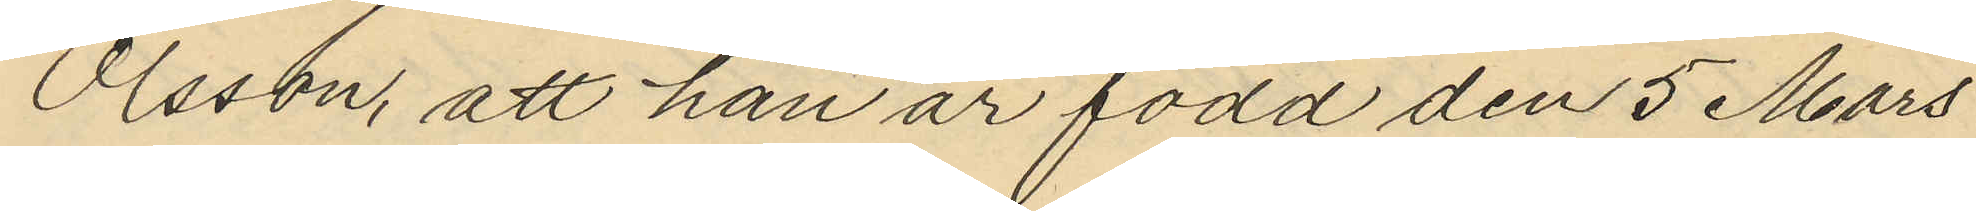Olsson, att han är född den 5 Mars
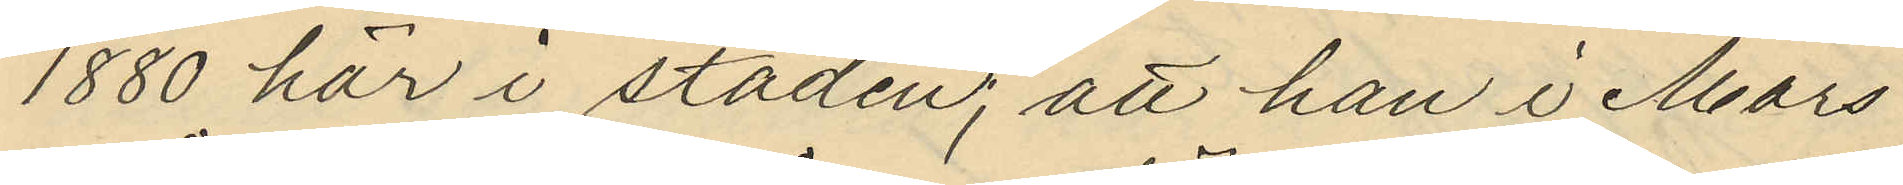1880 här i staden; att han i Mars
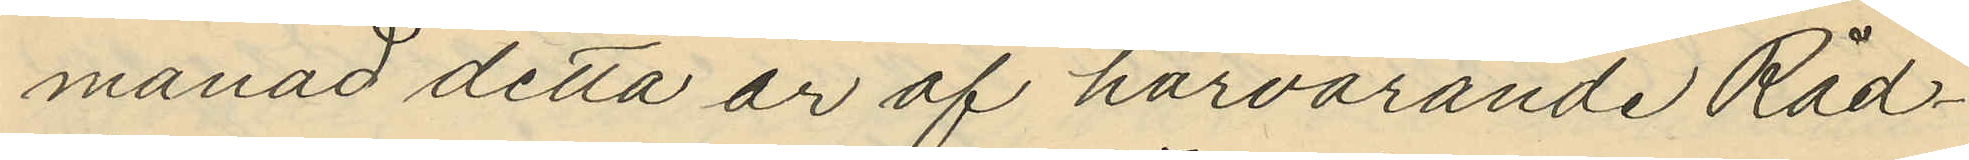månad detta år af härvarande Råd¬
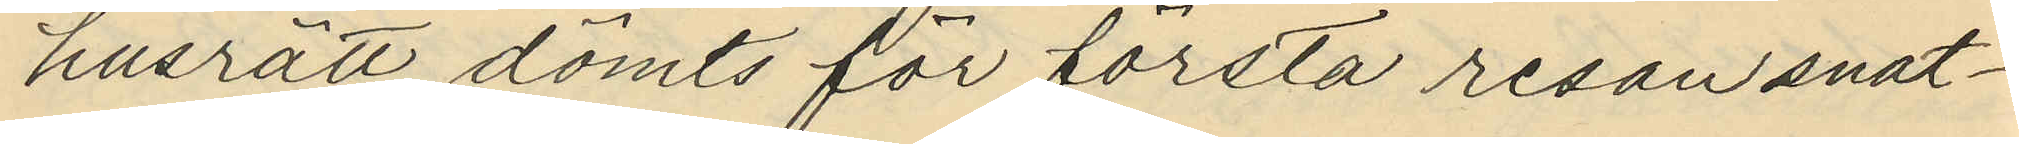husrätt dömts för första resan snat¬
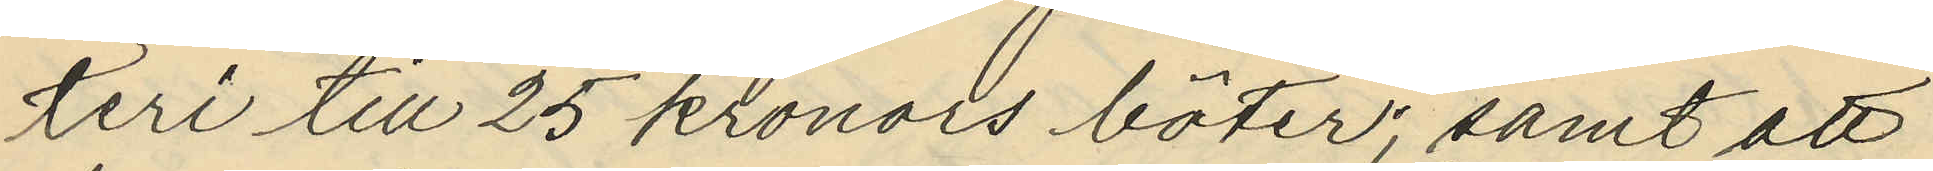teri till 25 kronors böter; samt att
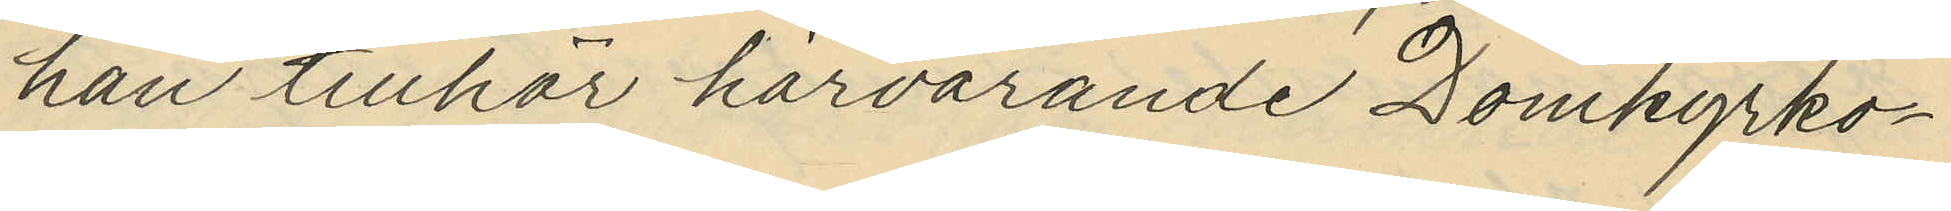han tillhör härvarande Domkyrko¬
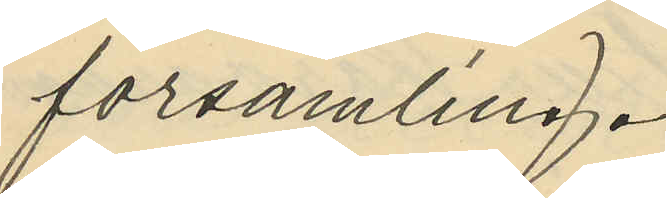församling.
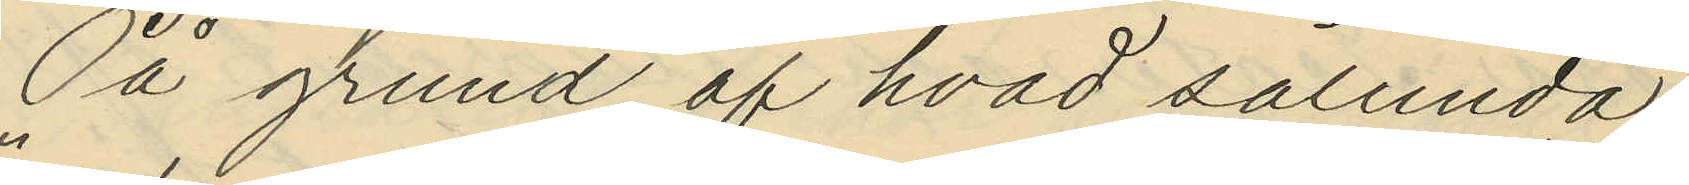På grund af hvad sålunda
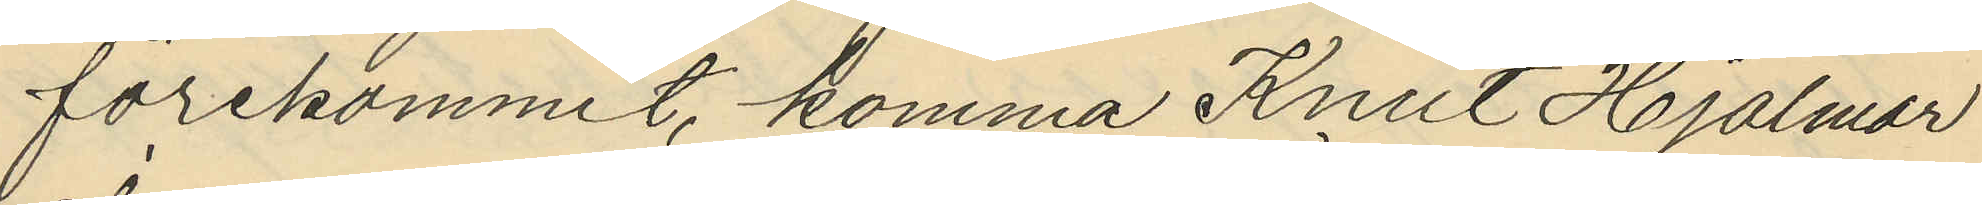förekommit, komma Knut Hjalmar
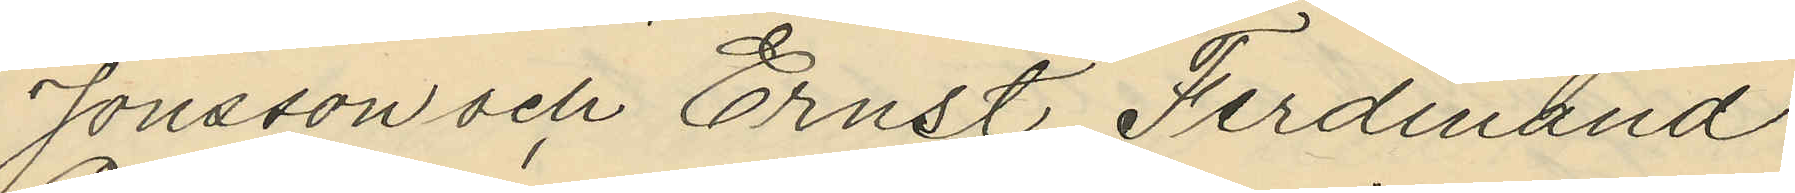Jonsson och Ernst Ferdinand
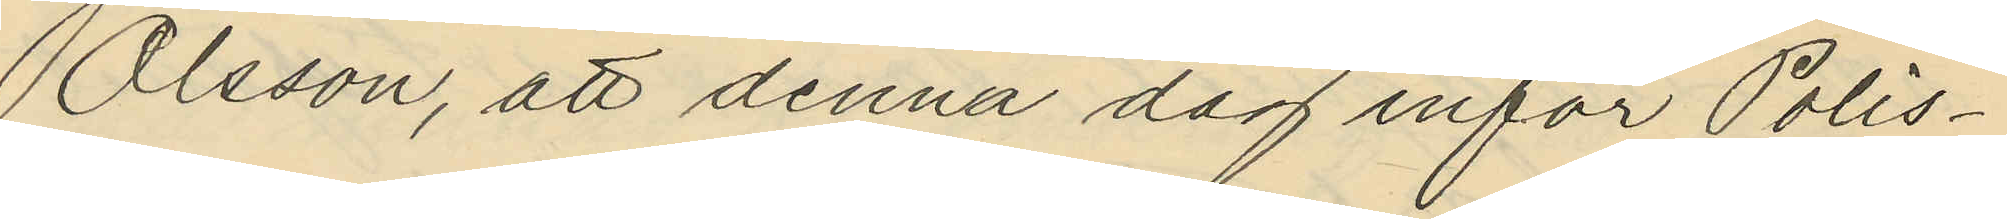Olsson, att denna dag inför Polis¬
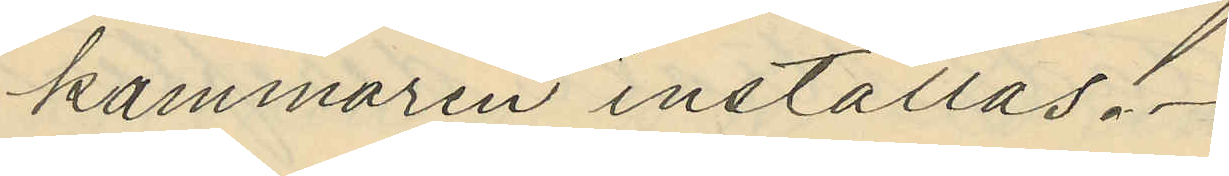kammaren inställas.
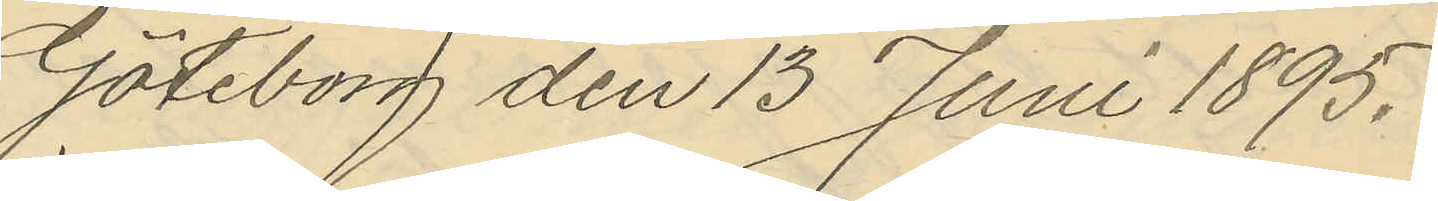Göteborg den 13 Juni 1895.
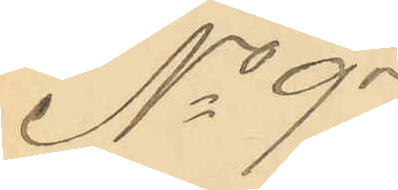No 97.
